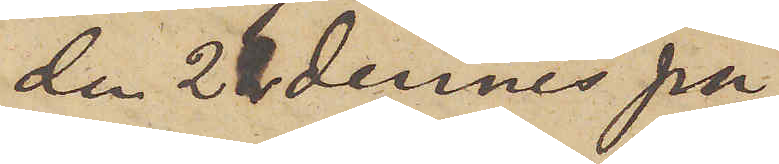den 21 dennes på
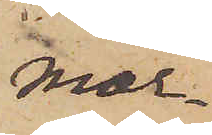mor¬
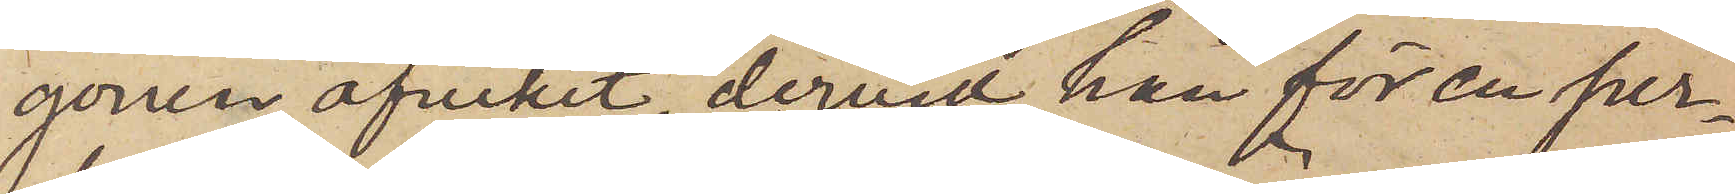gonen afvikit, dervid han för en per¬
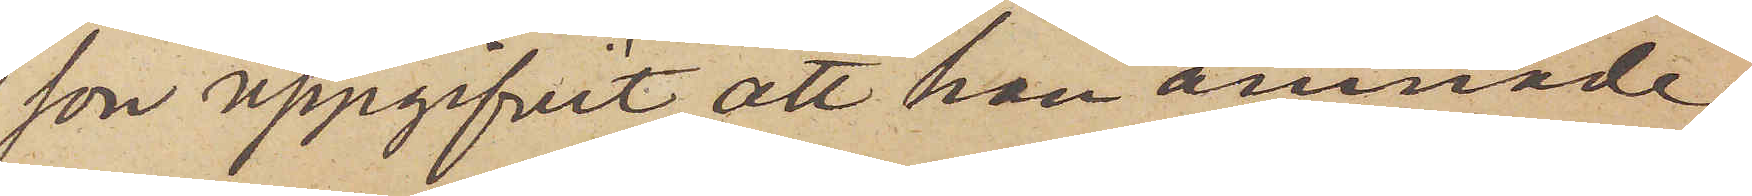son uppgifvit, att han ämnade
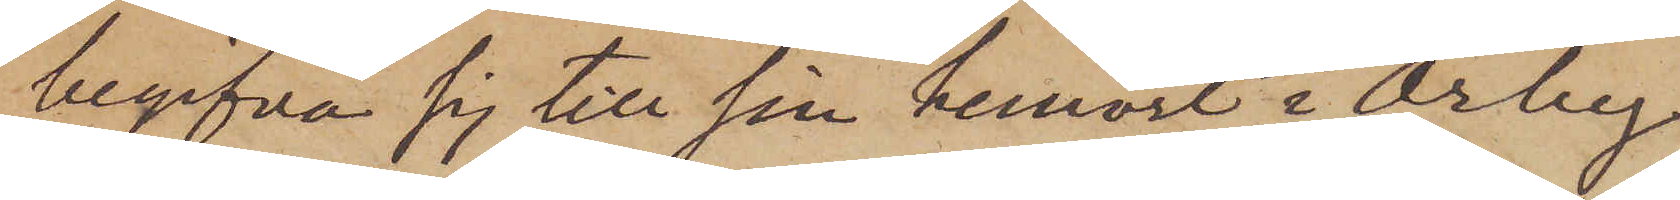begifva sig till sin hemort i Örby
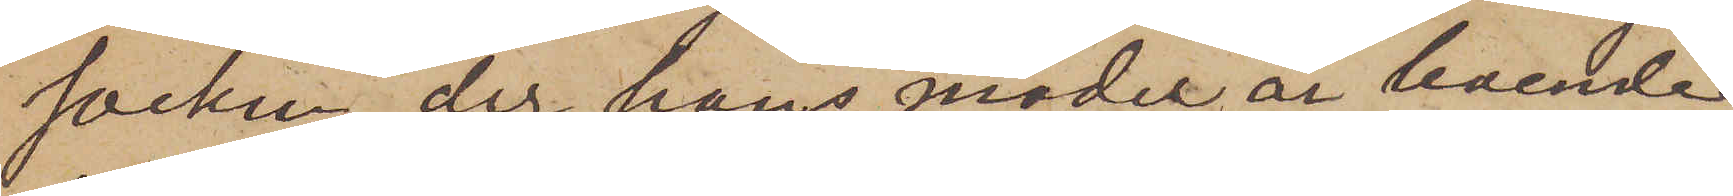socken, der hans moder är boende
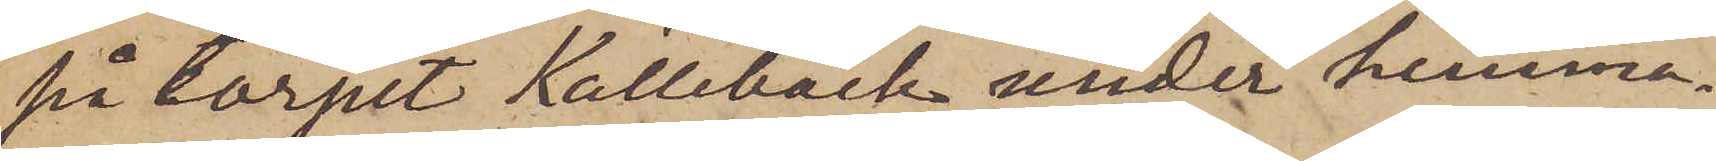på torpet Källebäck under hemma¬
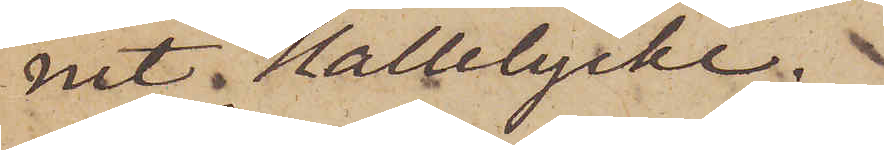nit Hallelycke.
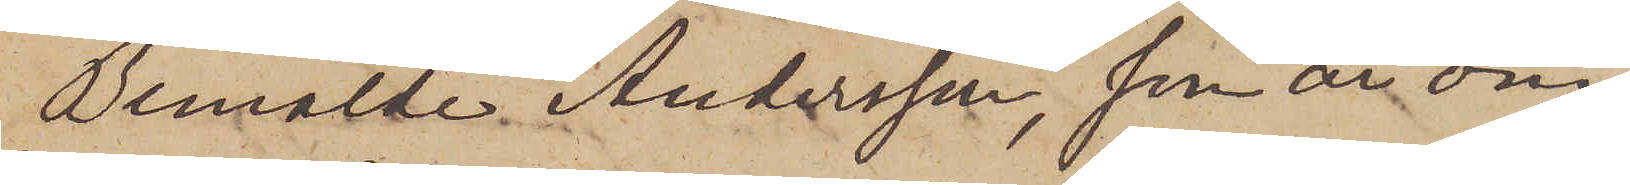Bemälde Andersson, som är om¬
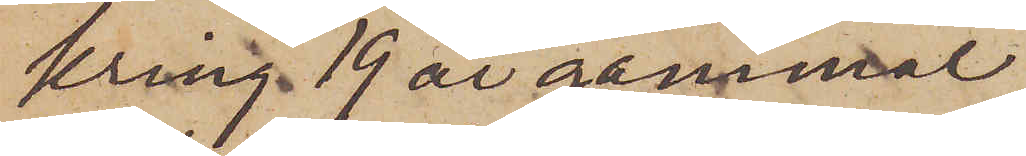kring 19 år gammal,
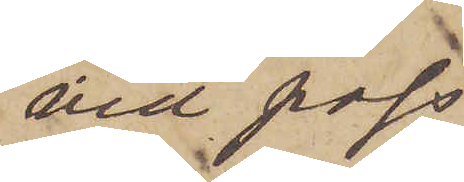vid pass
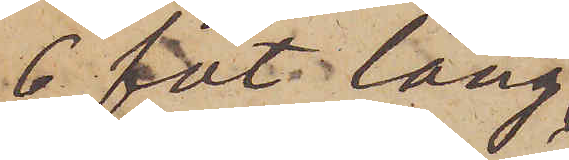6 fot lång,
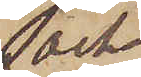och
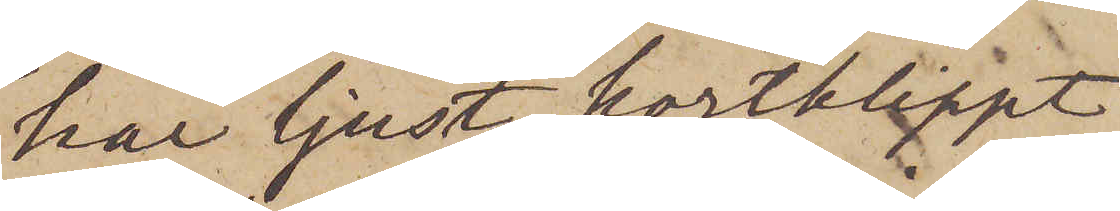har ljust kortklippt
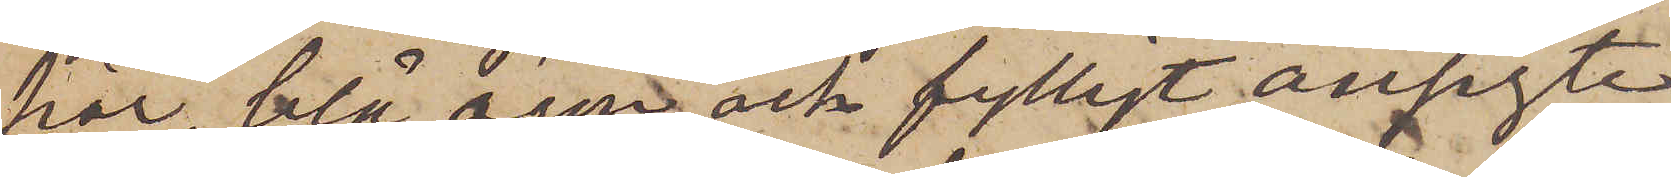hår, blå ögon och fylligt ansigte
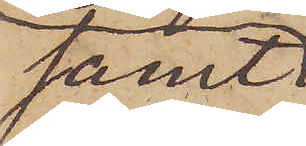samt
